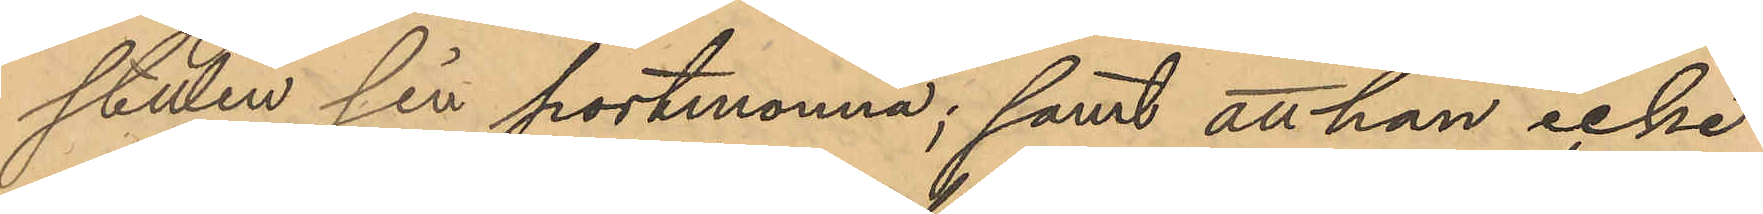stulen sin portmonnä; samt att han icke
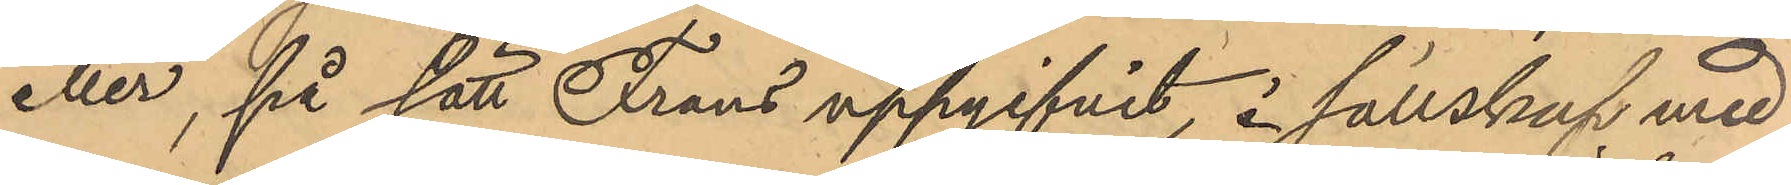eller, på sätt Frans uppgifvit, i sällskap med
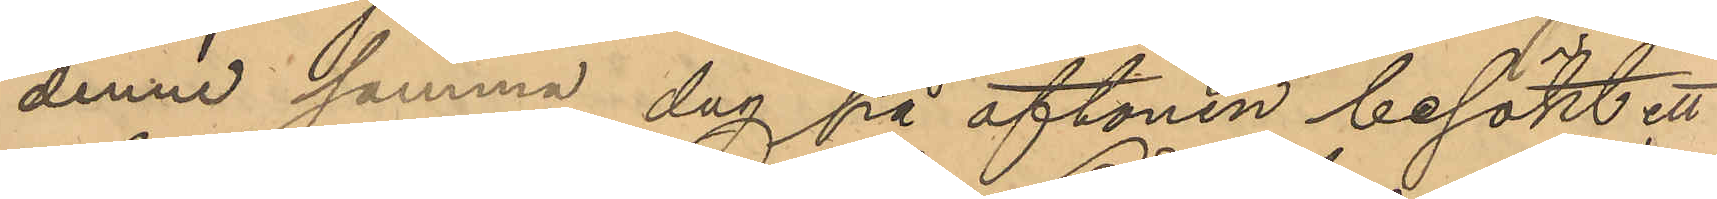denne samma dag på aftonen besökt ett
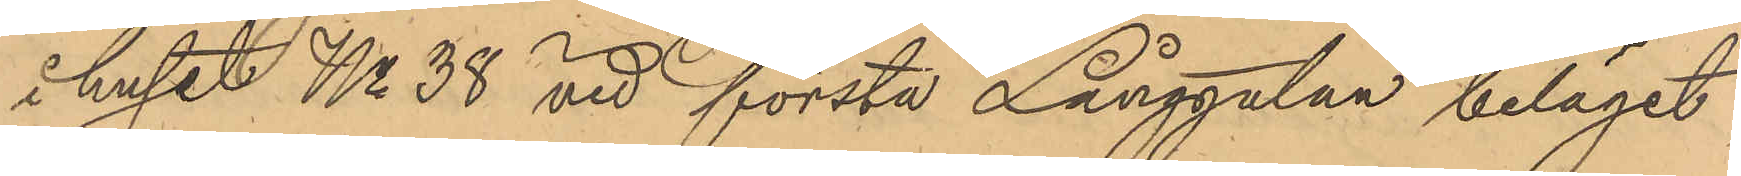i huset No 38 vid första Långgatan beläget
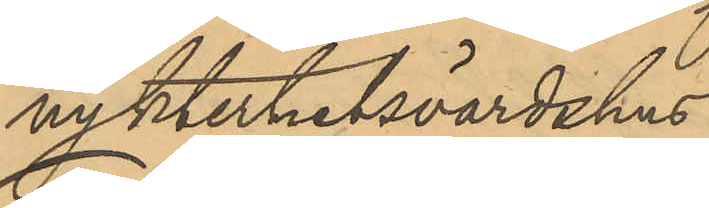nykterhetsvärdshus.
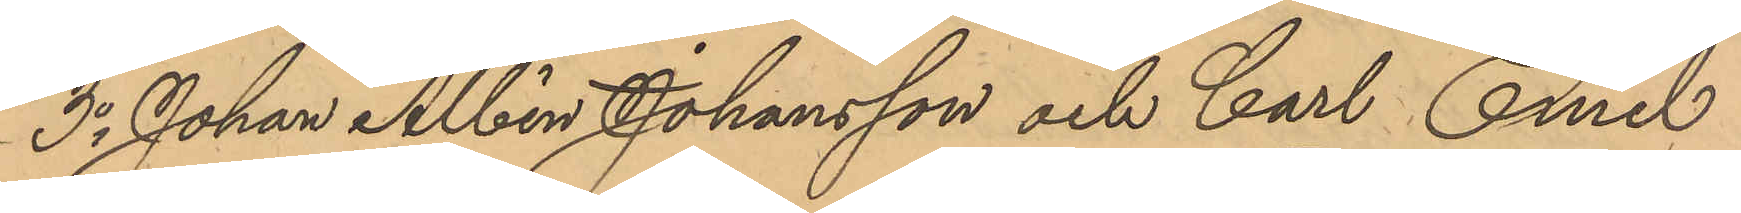3o Johan Albin Johansson och Carl Emil
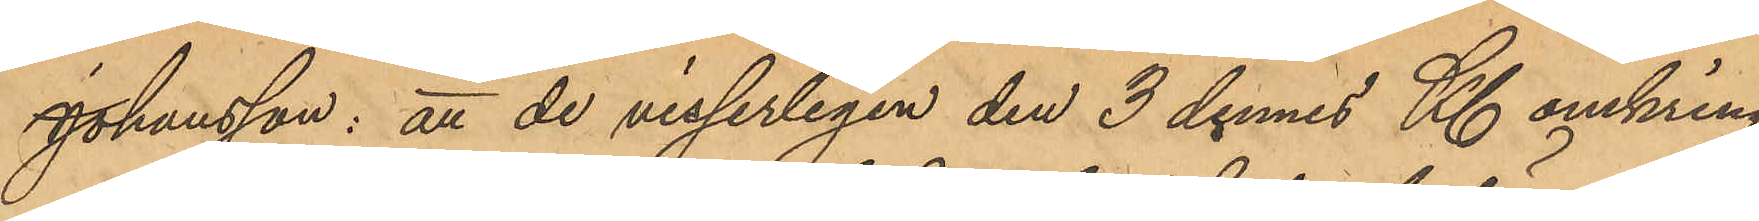Johansson: att de visserligen den 3 dennes Kl omkring
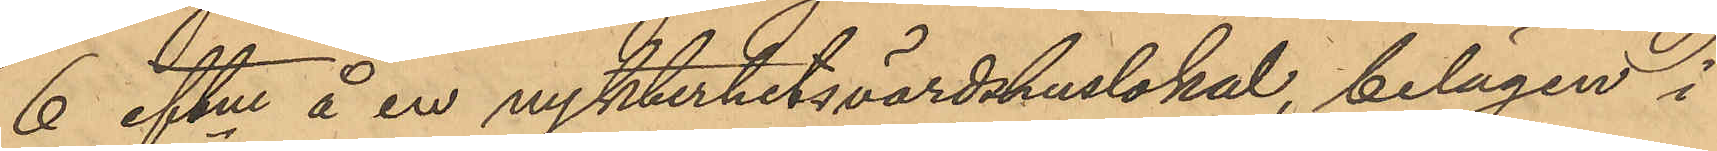6 eftm å en nykterhetsvärdshuslokal, belägen i
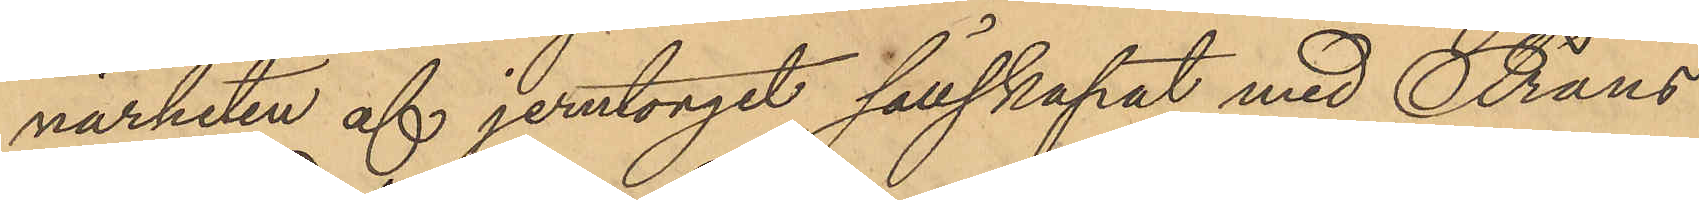närheten af jerntorget sällskapat med Frans
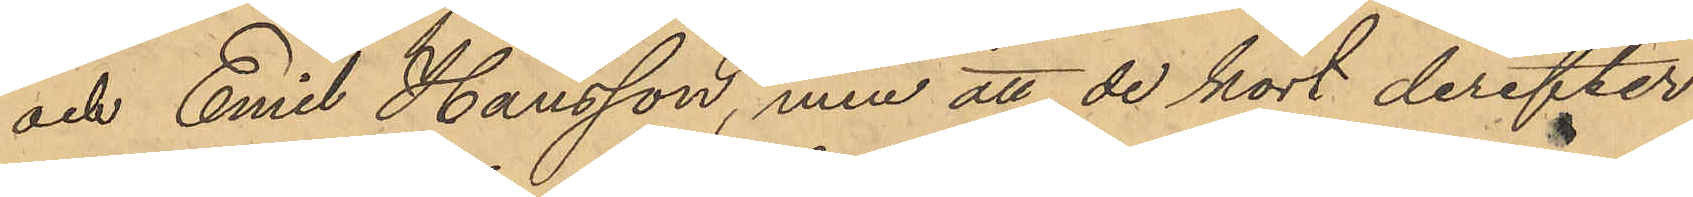och Emil Hansson, men att de kort derefter
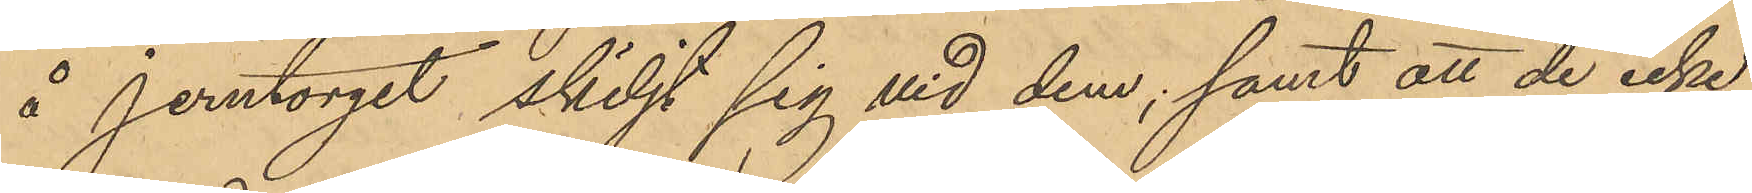å Jerntorget skiljt sig vid dem; samt att de icke
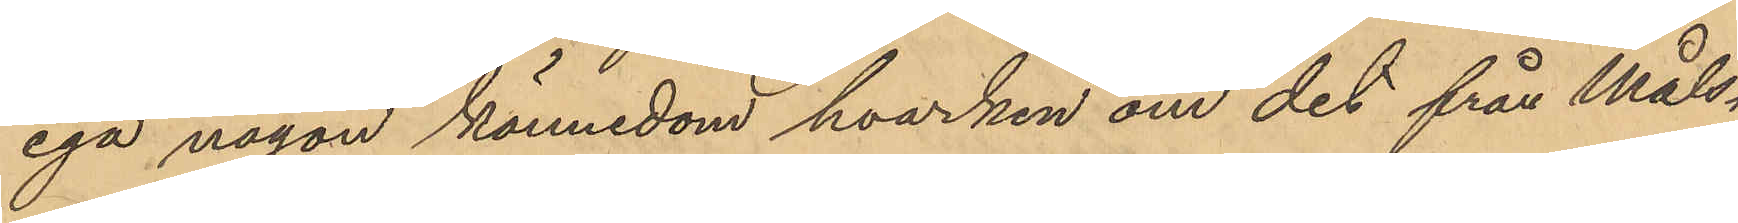ega någon kännedom hvarken om det från måls¬
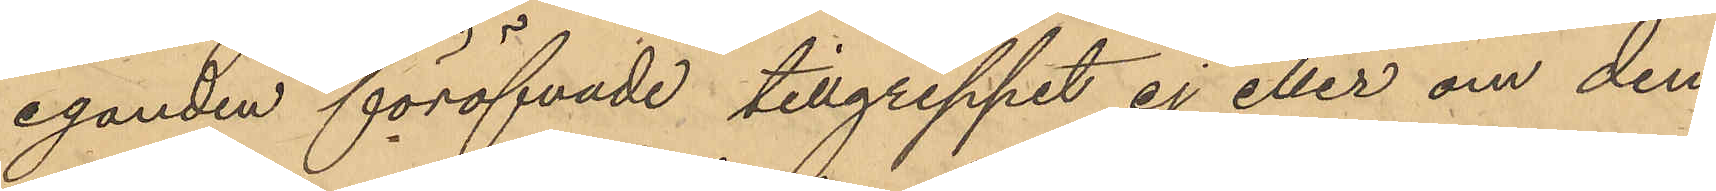eganden föröfvade tillgreppet ej eller om den
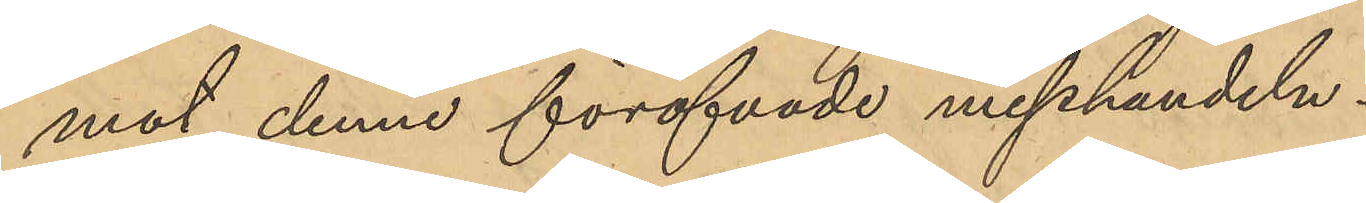mot denne föröfvade misshandeln.
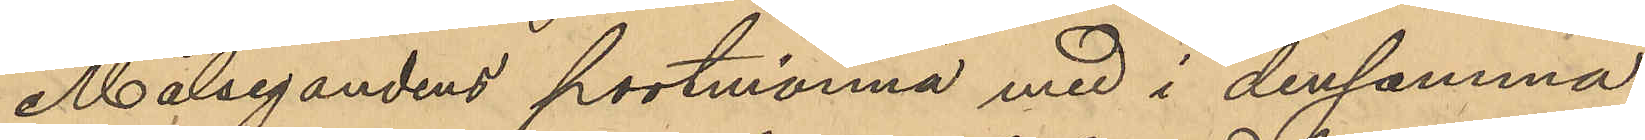Målsegandens portmonnä med i densamma
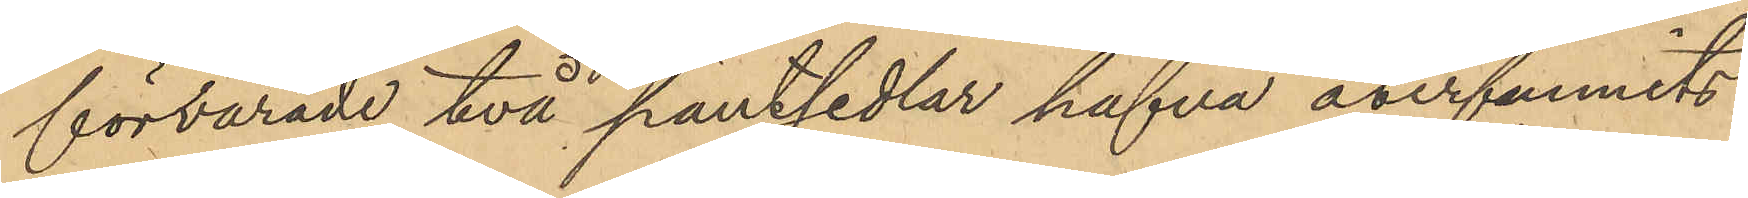förvarade två pantsedlar hafva åverfunnits
